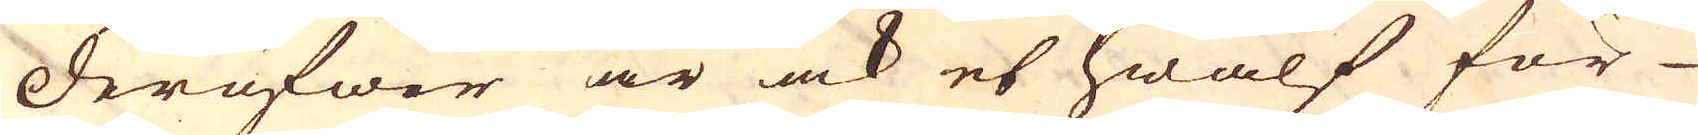Deröfwer är ock et hwalf för
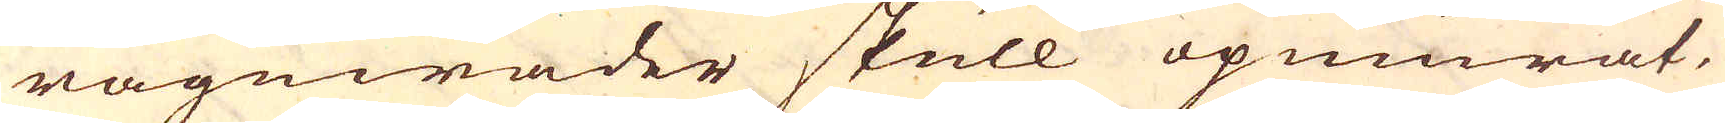rägnwäder skull upmurat.
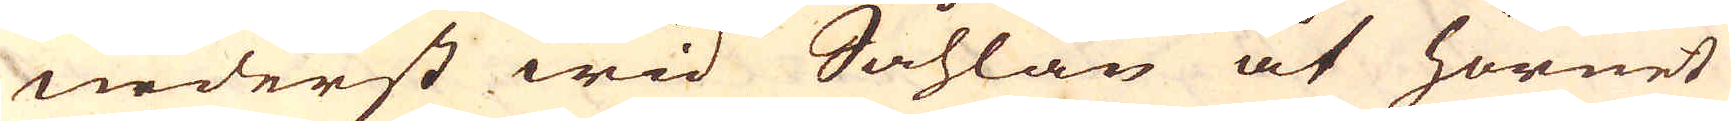Nederst wid Såhlan åt hörnet
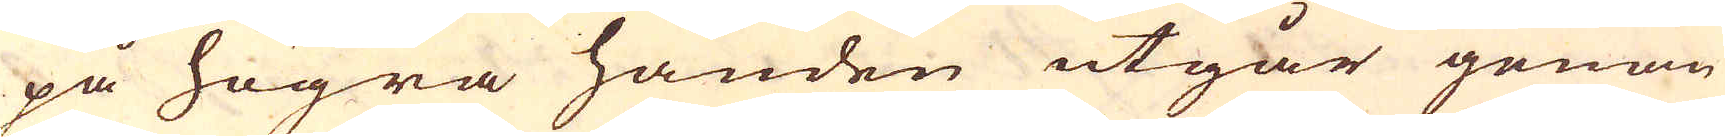på högra handen utgår genom
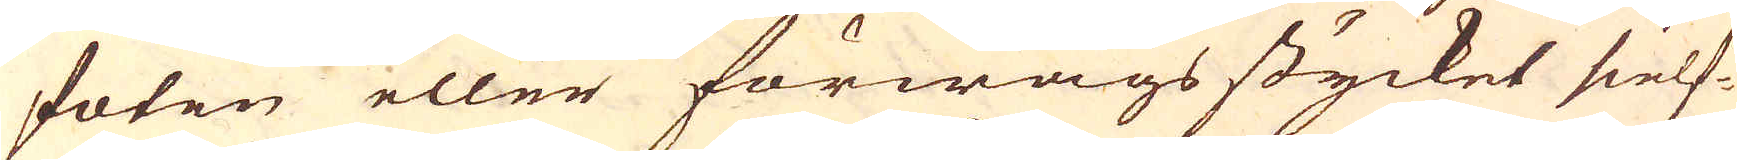foten eller förwägs stycket sielf-
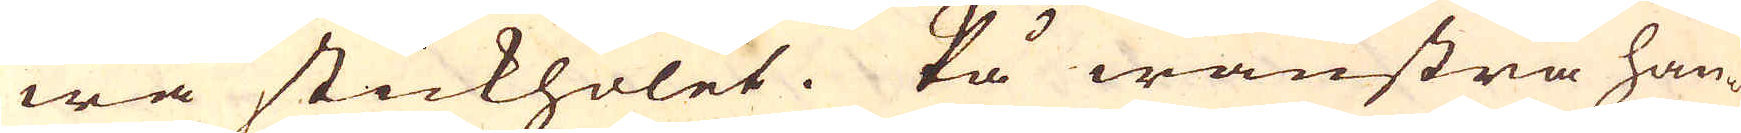wa stickholet. På wänstra han-
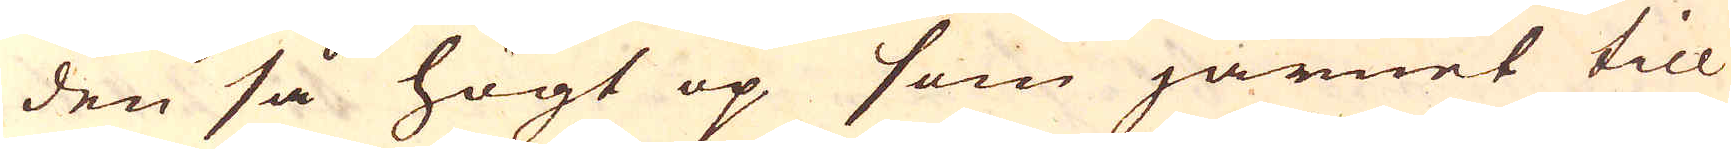den så högt op som järnet till
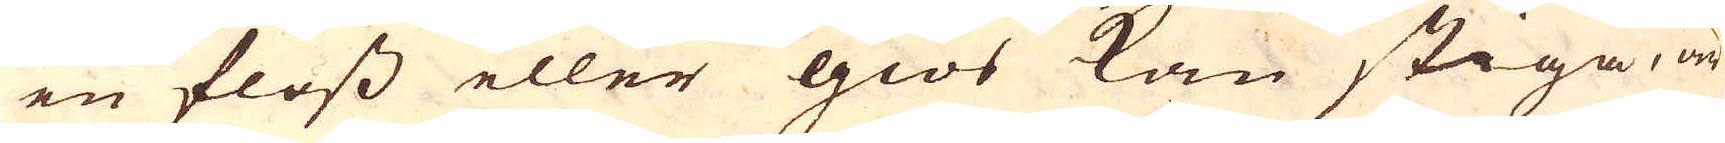en floss eller giös kan stiga, är
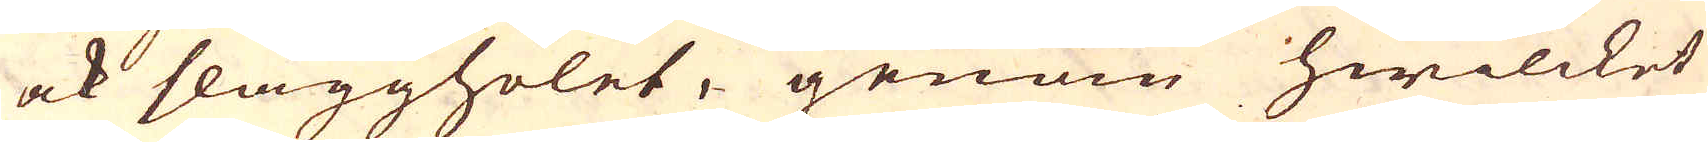ock slaggholet, genom hwilcket
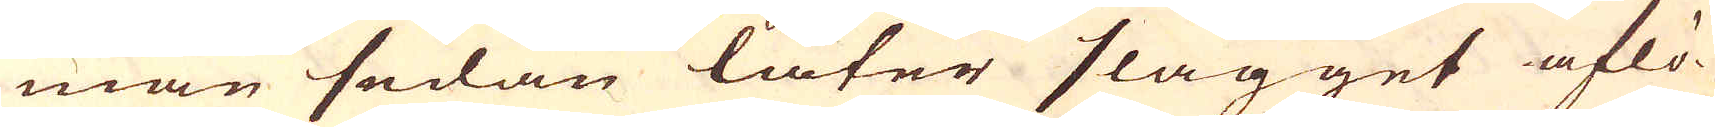man sedan låter slagget aflö-
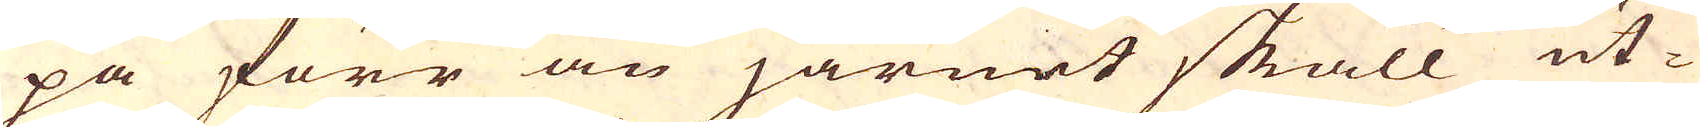pa förr än järnet skall ut-
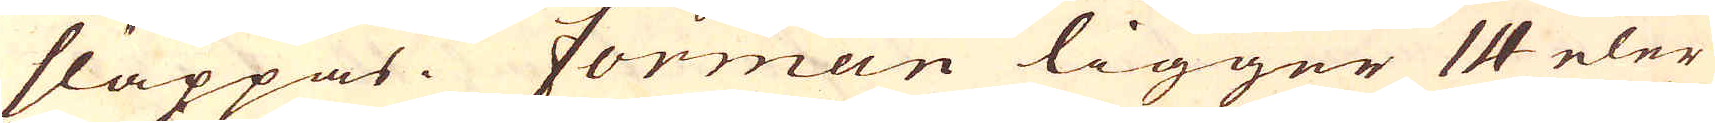släppas. Formen ligger 14 eler
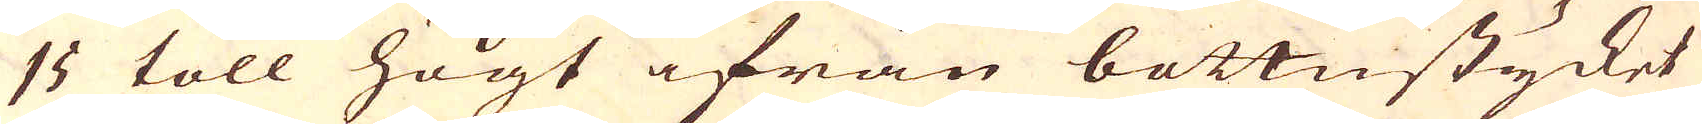15 toll högt ifrån bottnstycket
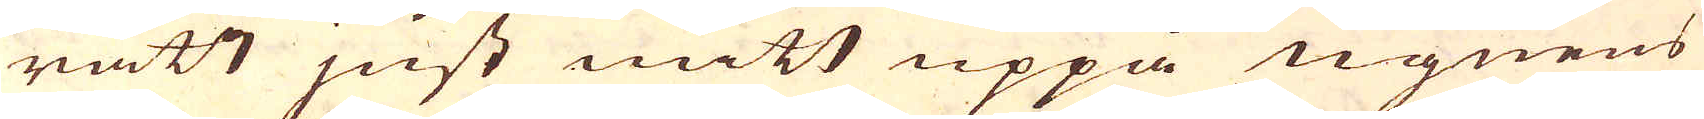rätt just mitt uppå ugnens
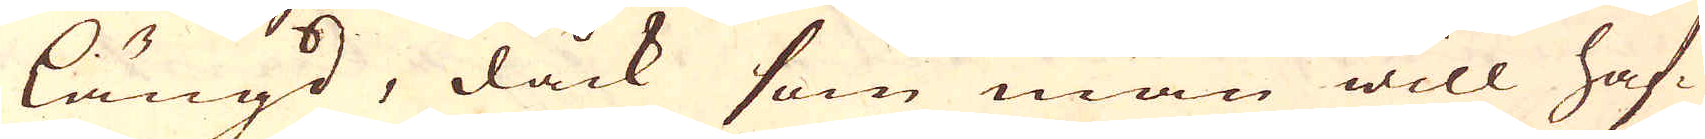längd, dåck som man will haf-
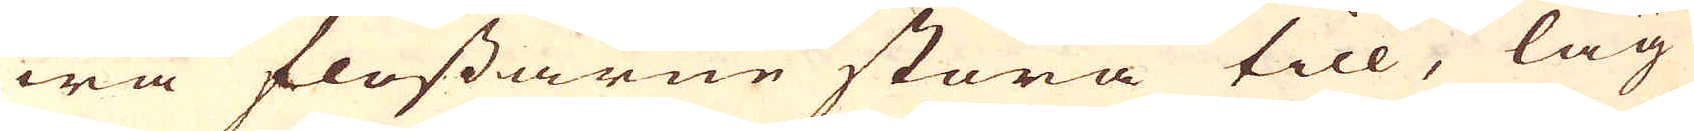wa flossarne stora till, läg-
